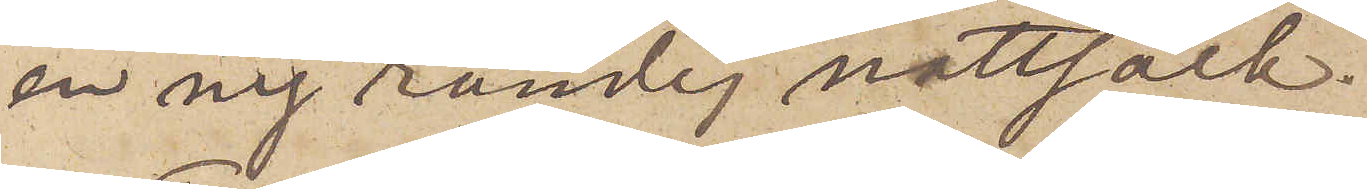en ny randig nattsäck.
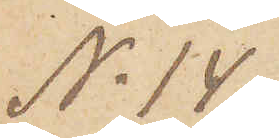No 14.
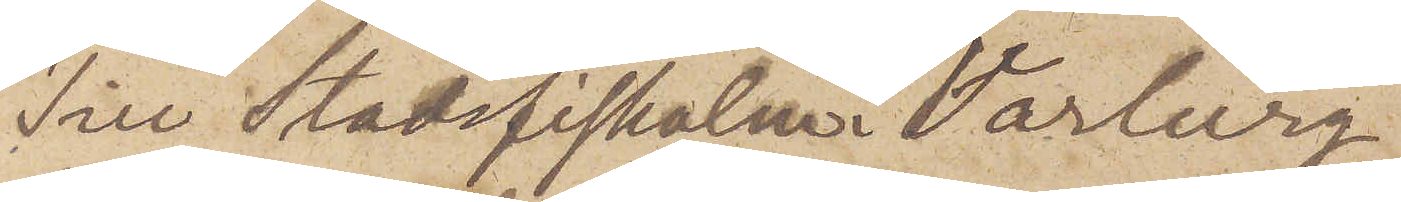Till Stadsfiskalen i  Varberg,
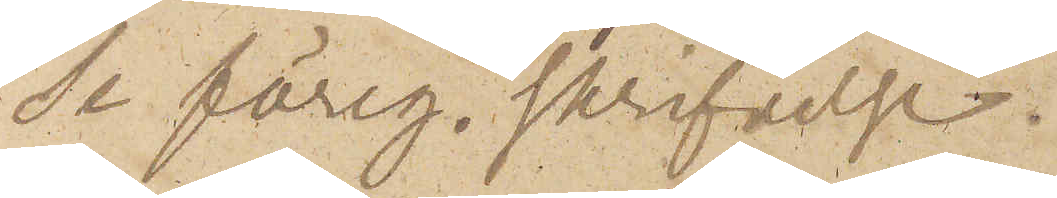Se föreg. skrifvelse..
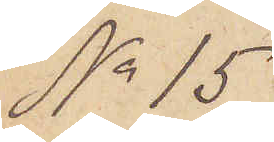No 15
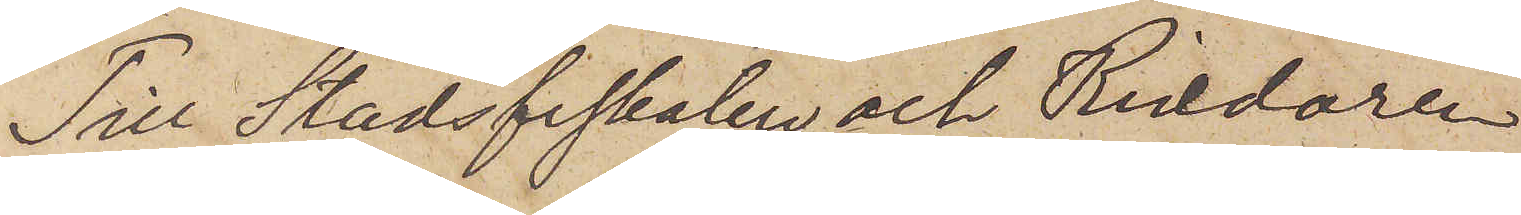Till Stadsfiskalen och Riddaren
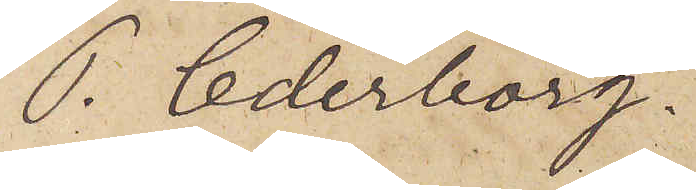P. Cederborg.
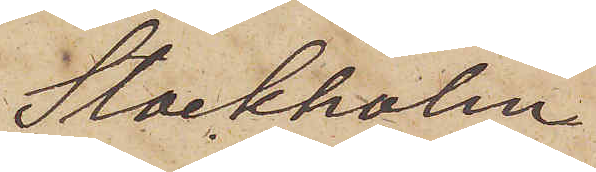Stockholm
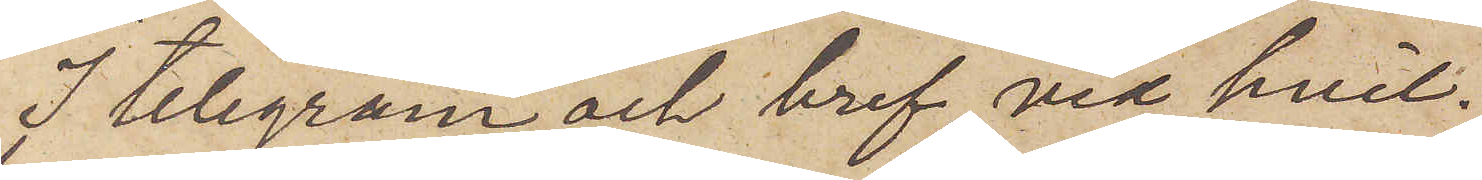I telegram och bref, vid hvil¬
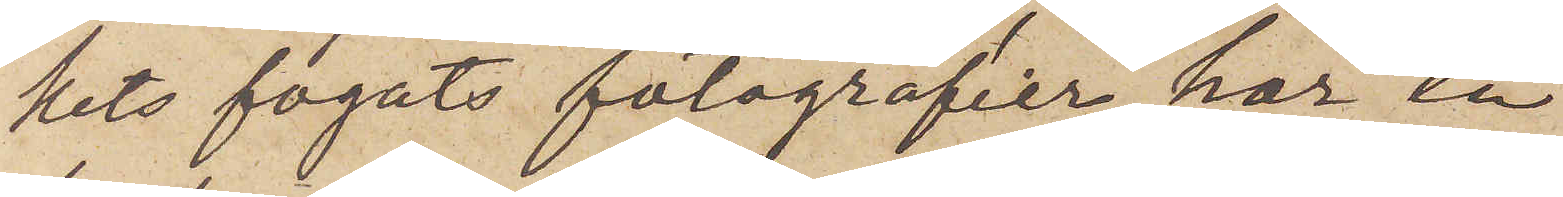kets fogats fotografier, har en
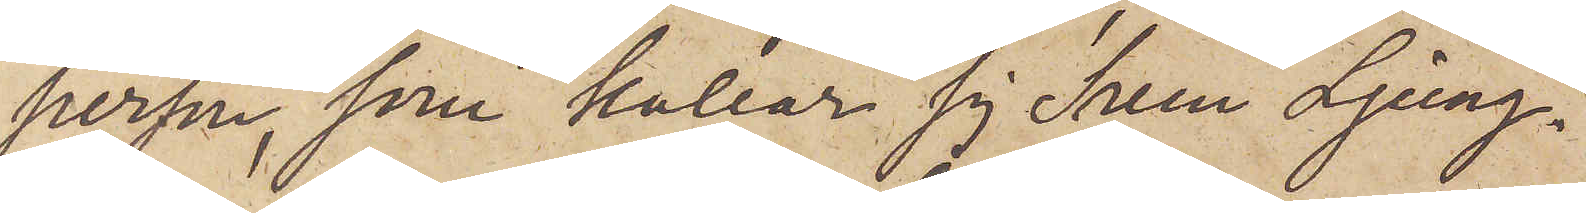person, som kallar sig Sven Ljung¬
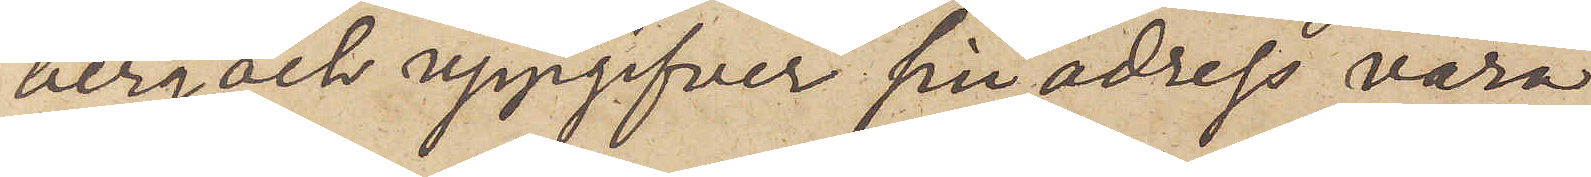berg och uppgifver sin adress vara
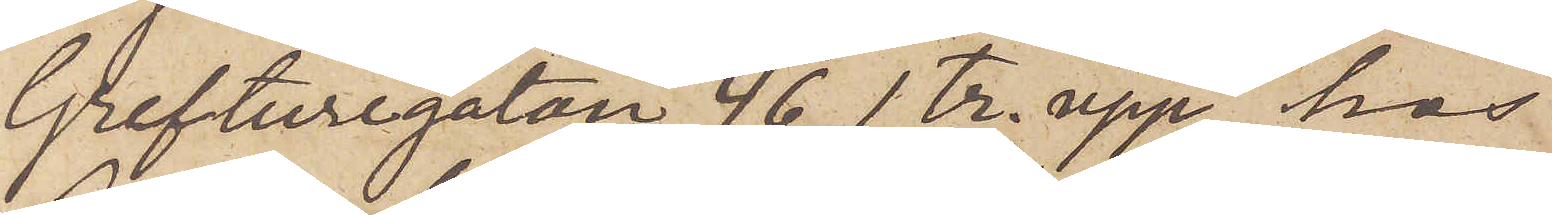Grefturegatan 46, 1 tr. upp, hos
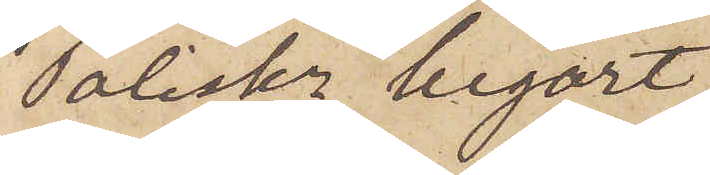Poliskn begärt
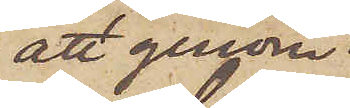att genom
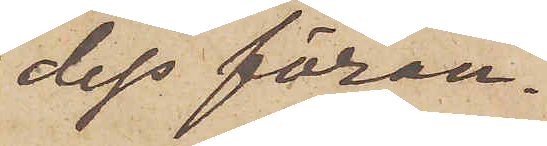dels föran¬
